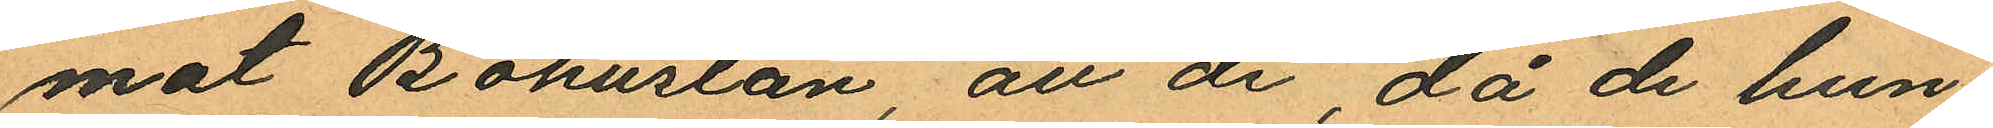mot Bohuslän, att de då de hun¬
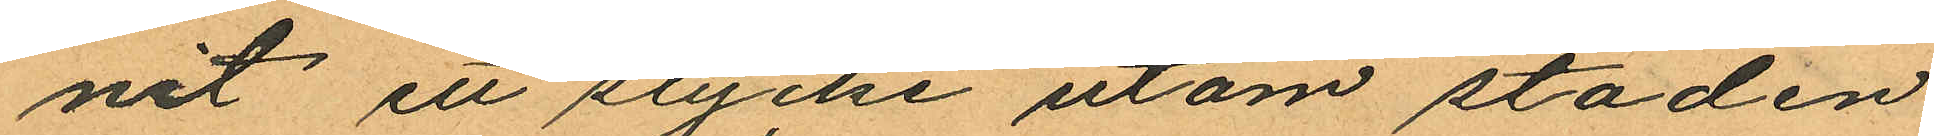nit ett stycke utom staden
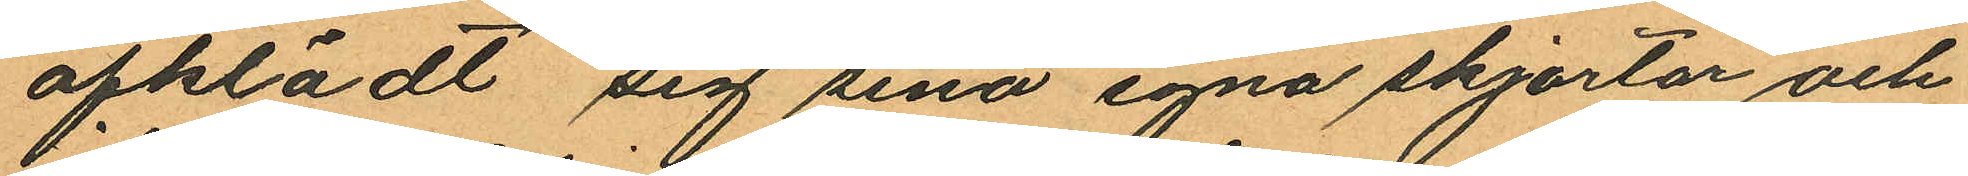afklädt sig sina egna skjortor och
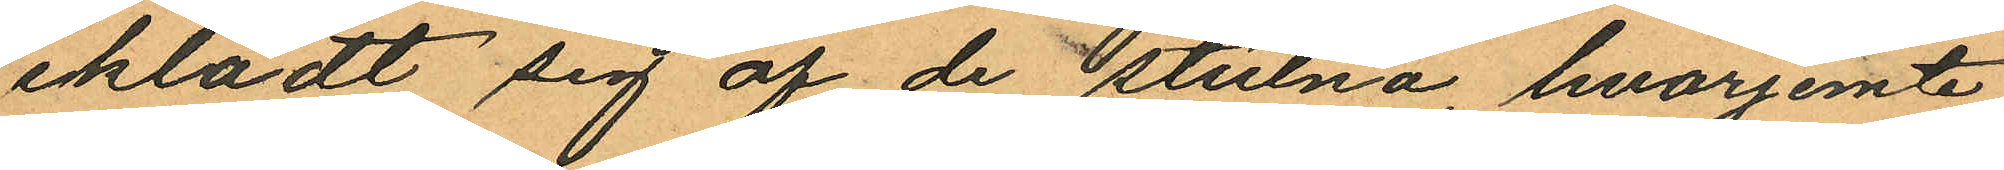iklädt sig af de stulna, hvarjemte
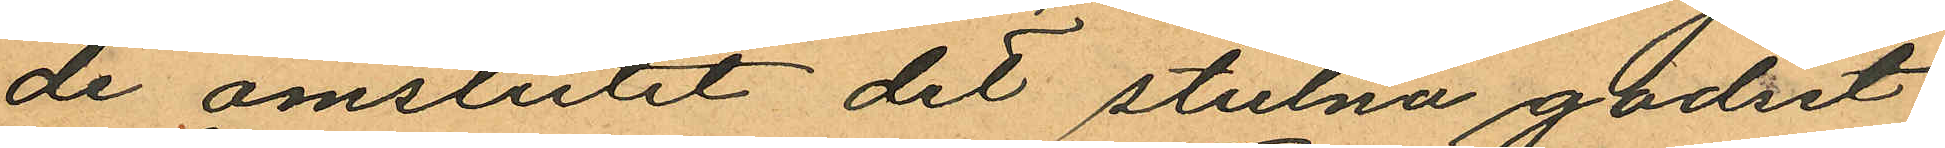de omslutit det stulna godset
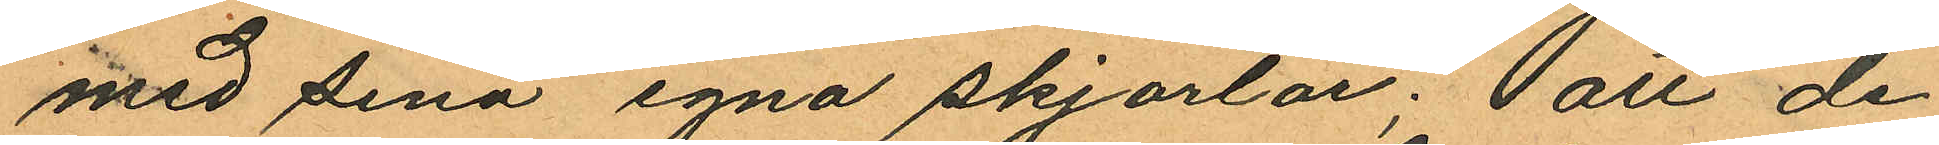med sina egna skjortor; att de
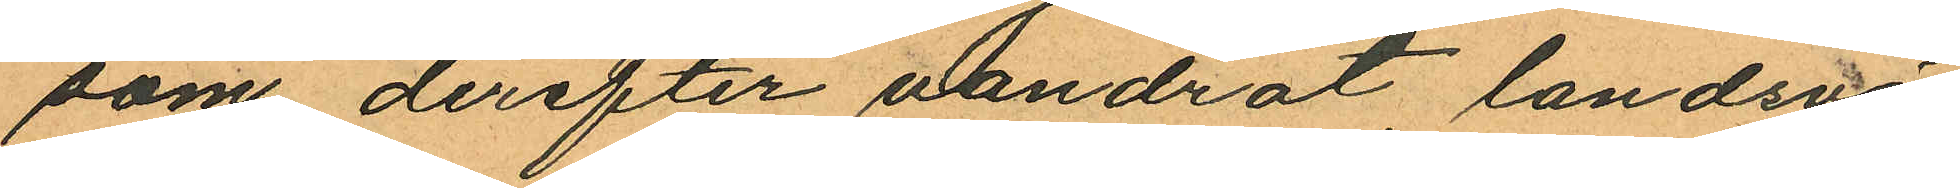som derefter vandrat landsvä¬
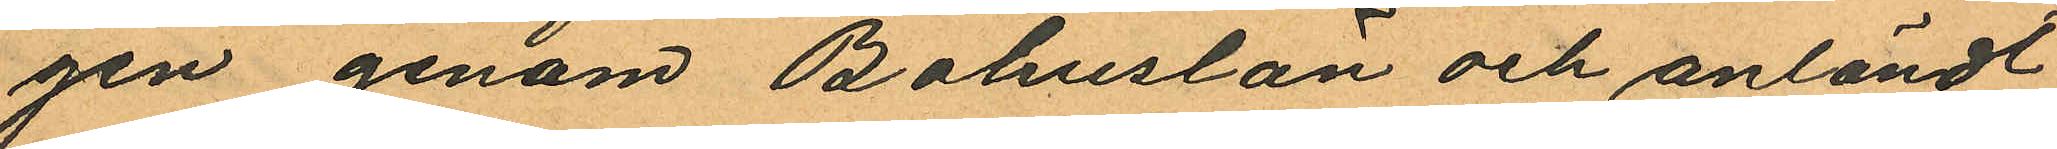gen genom Bohuslän och anländt
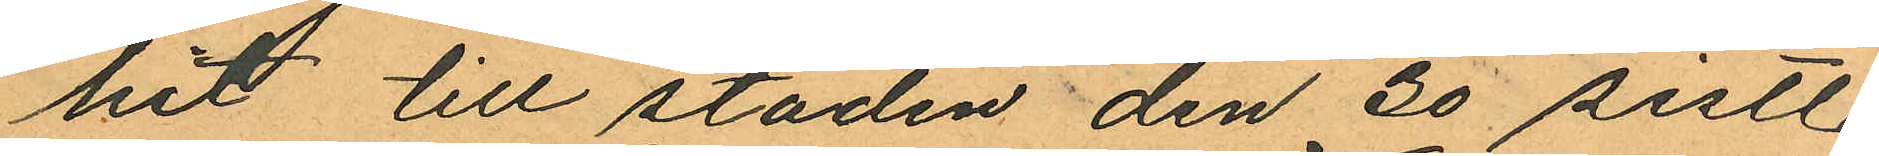hit till staden den 30 sistl.
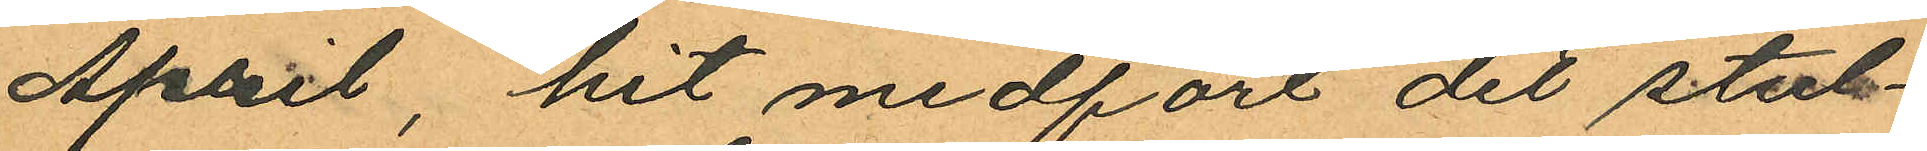April, hit medfört det stul¬
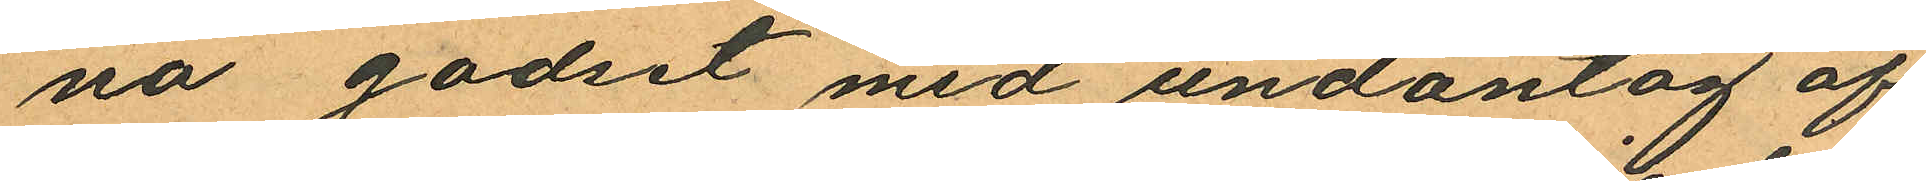na godset med undantag af
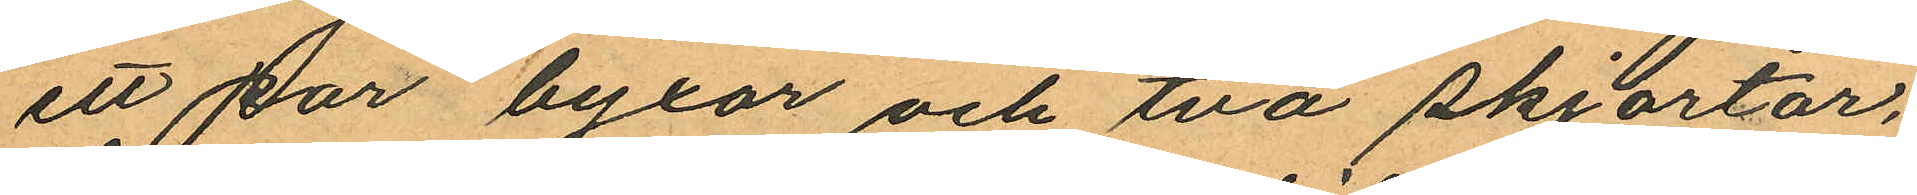ett par byxor och två skjortor,
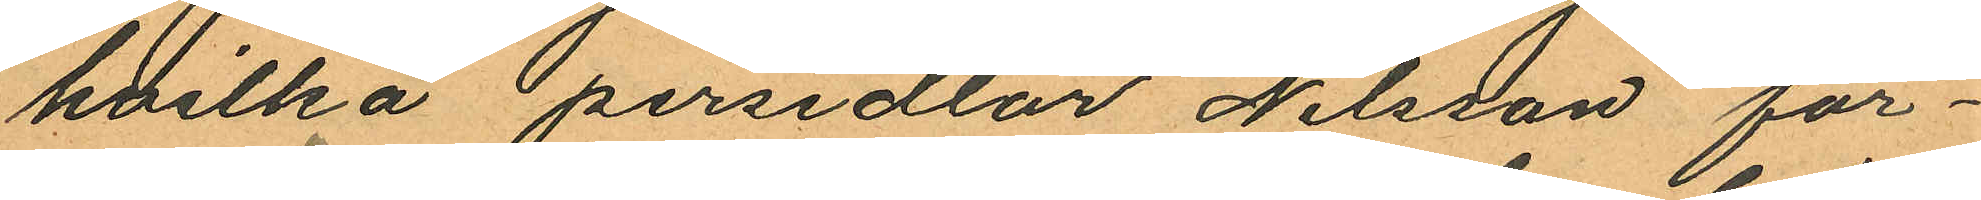hvilka persedlar Nilsson för¬
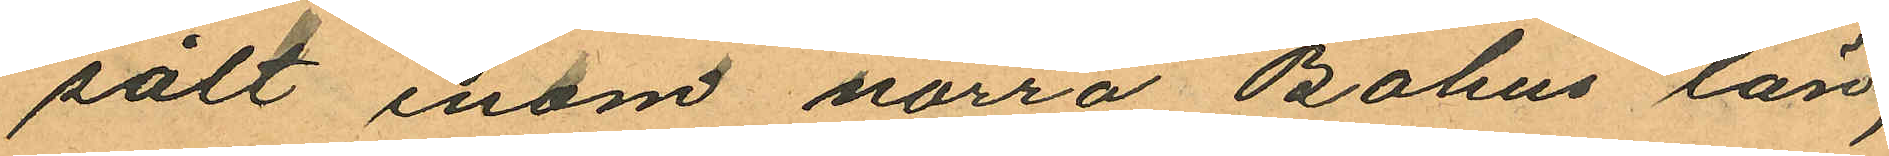sålt inom norra Bohus län,
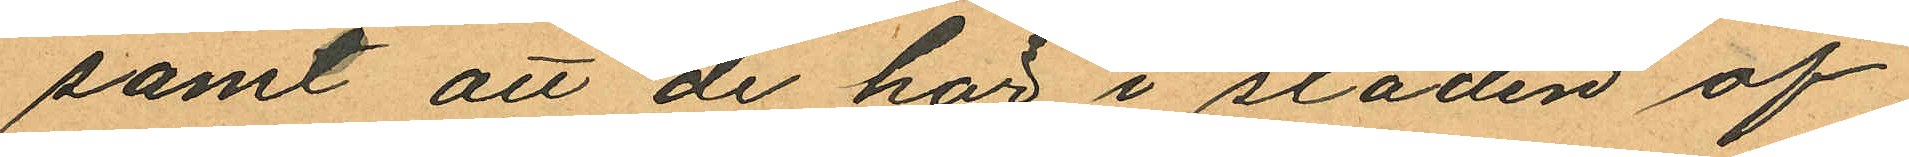samt att de här i staden af
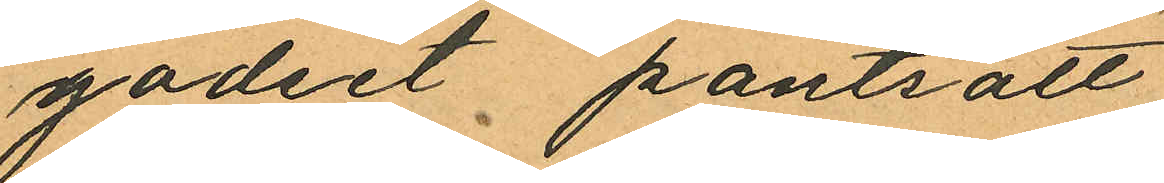godset pantsatt
